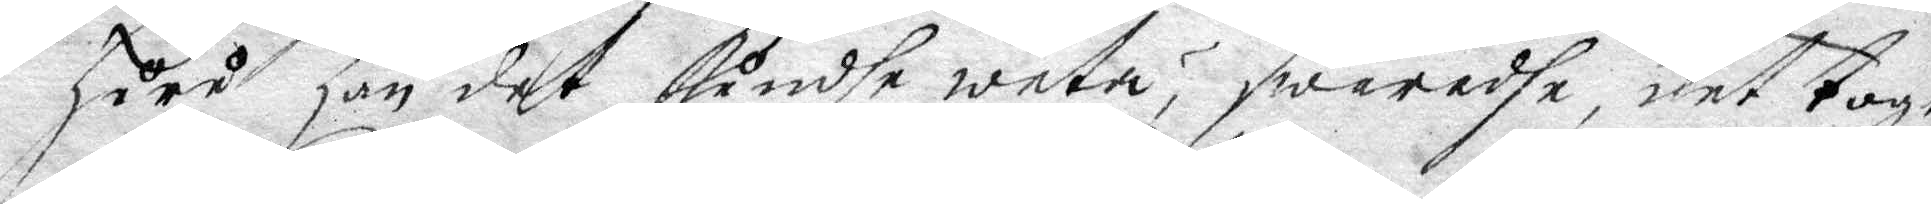huru han det kundhe weta? swarade, det toge
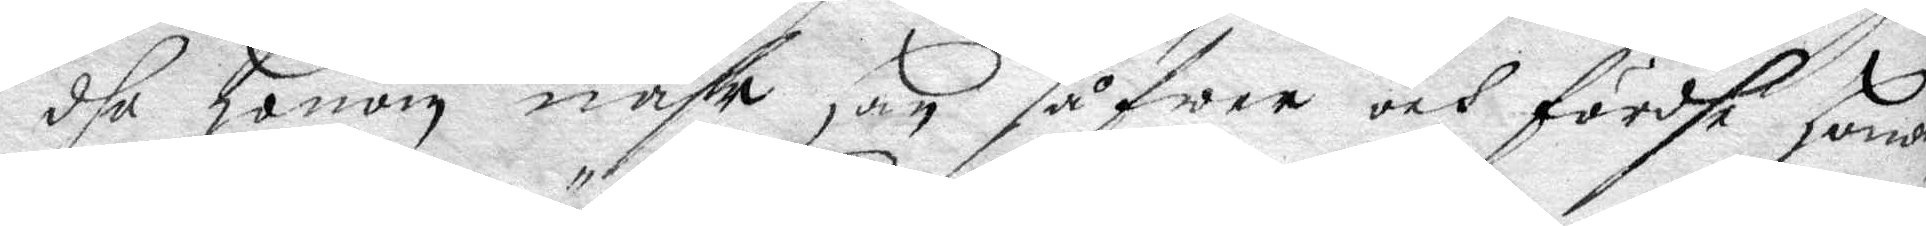dhe honom nähr han såfwer och fördhe honom
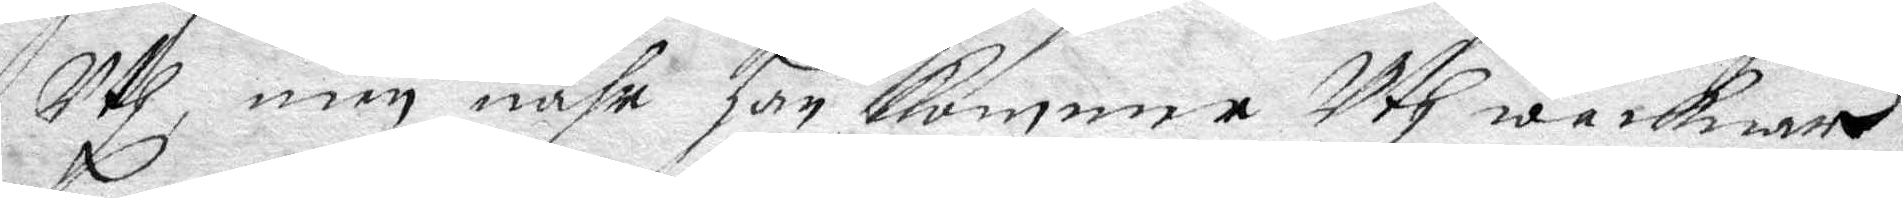Uth, men nähr han komme Uth wacknar
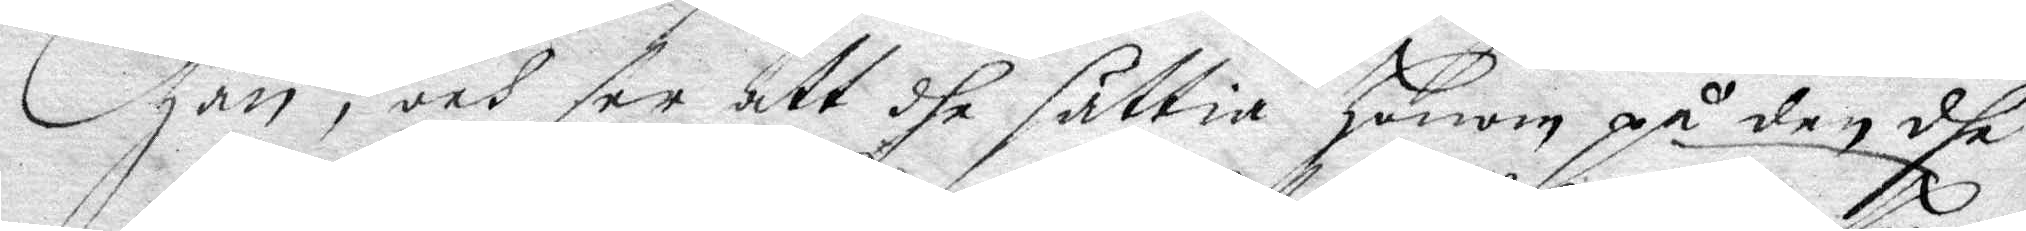han, och ser att dhe sättia honom på den dhe
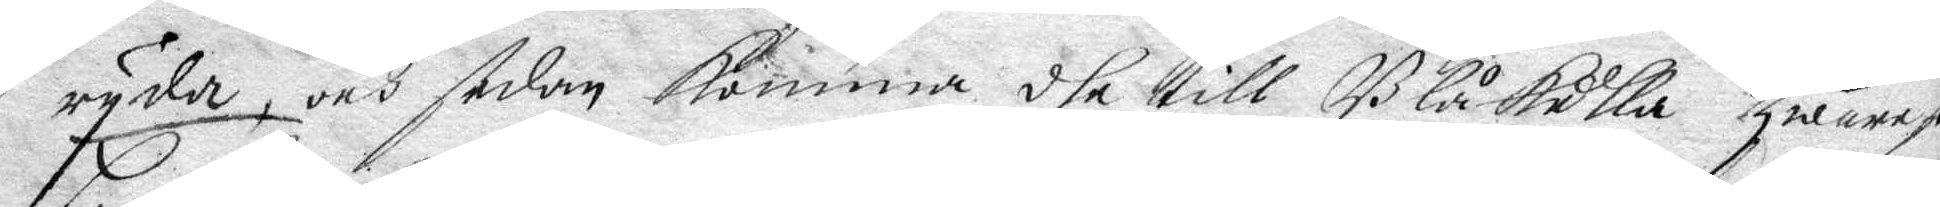ryder, och sedan komma dhe till Blåkulla hwarest
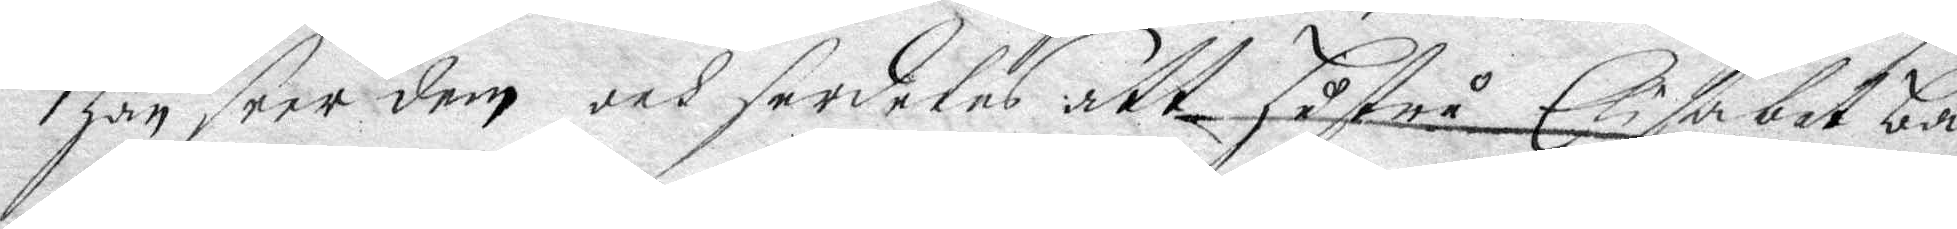han, seer dem och serdeles att hustru Elisabet ba¬
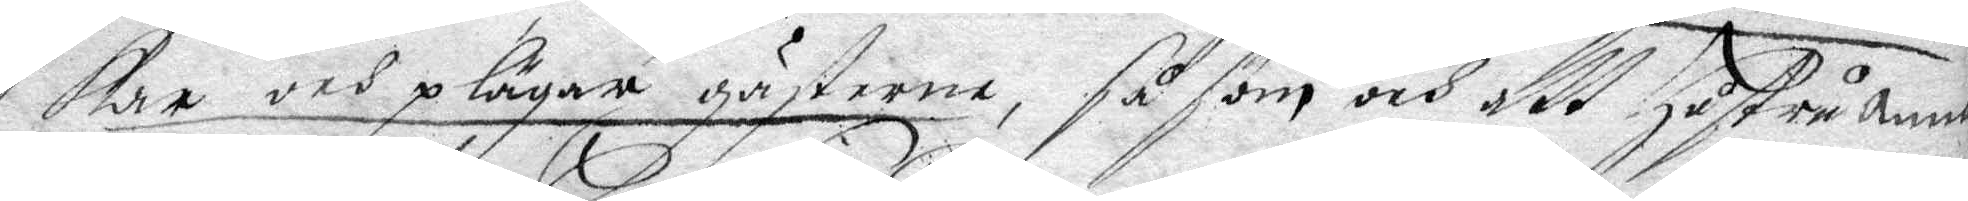kar och plägar gästerne, såßom och att hustru Anna
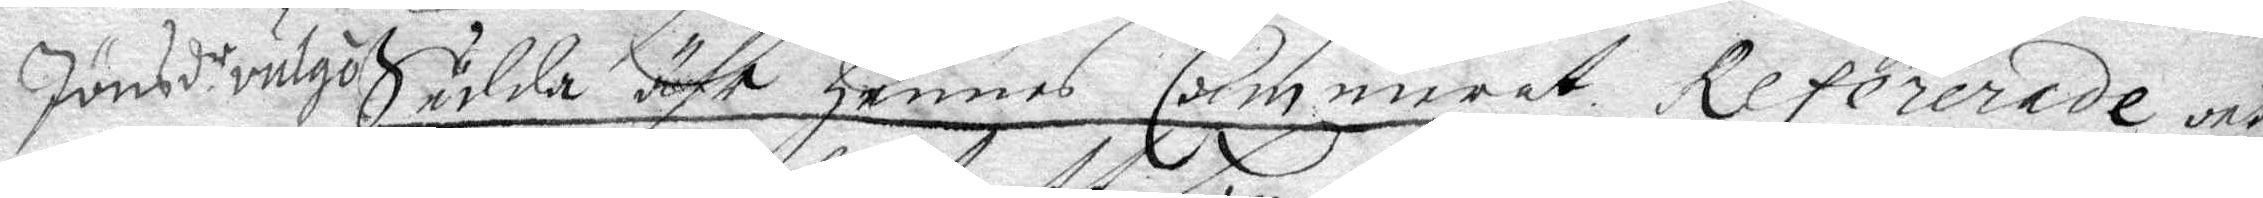Jönsdr vulgo Sudda ähr hennes Cammerat Refererade och
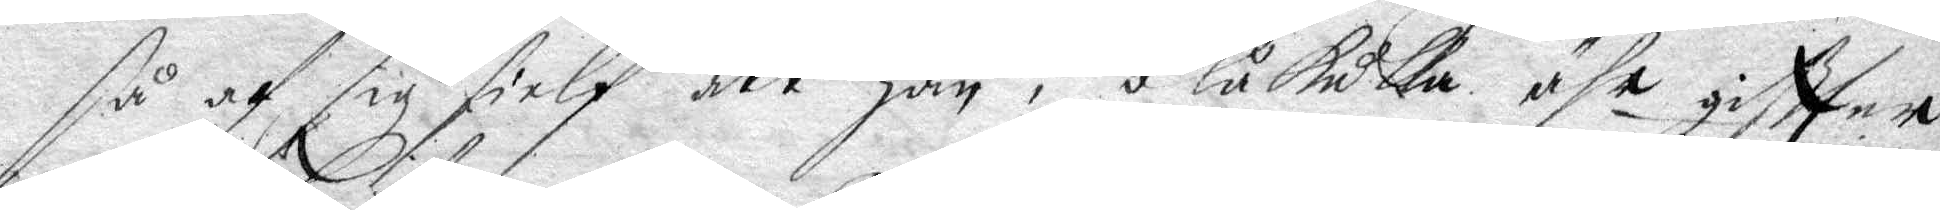så af sig sielf att hon i blåkulla ähr giftter
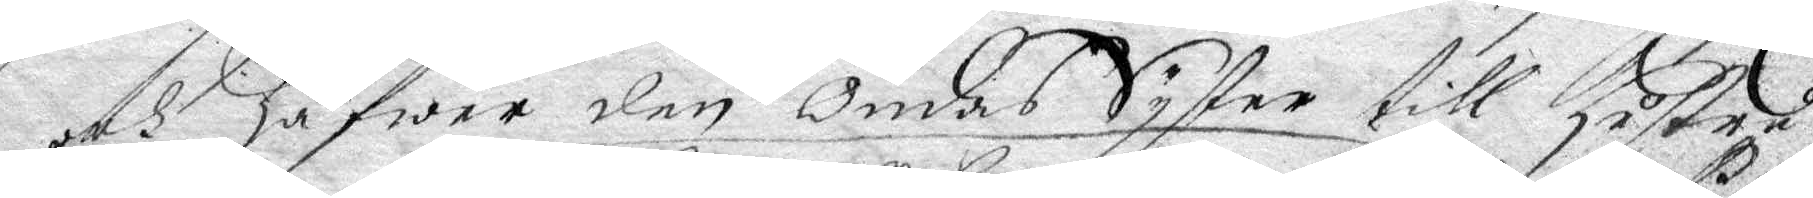och hafwer den Ondas Syster till hustru
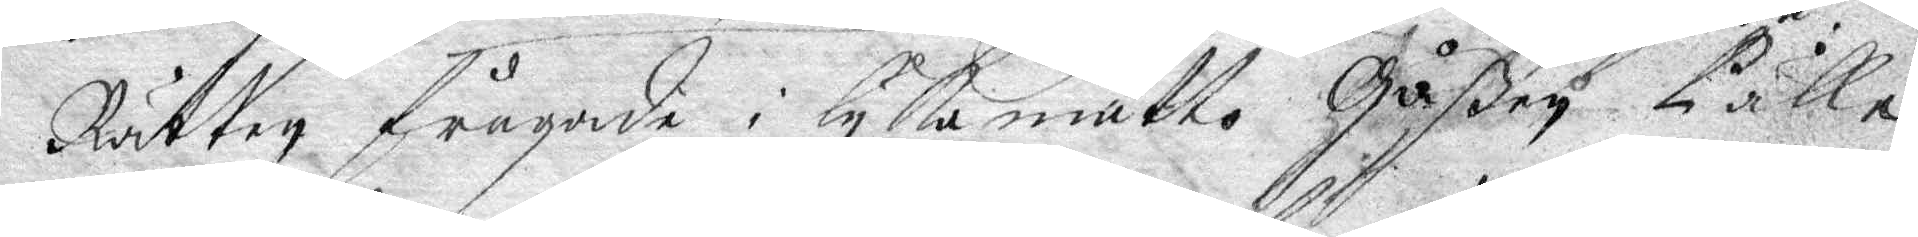Rätten frågade i lyka måtto Gåßen Pälle
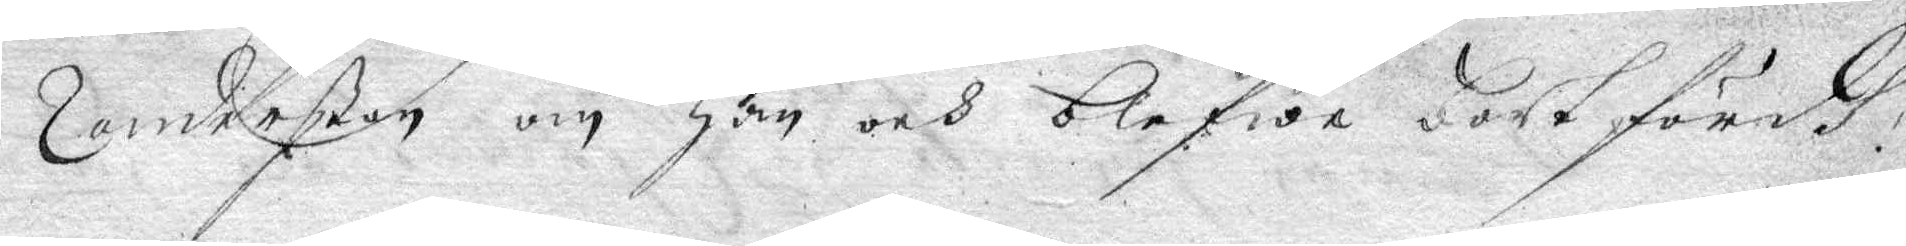Zanderßon om han och blefwe bortfördh,
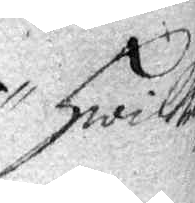hwilken
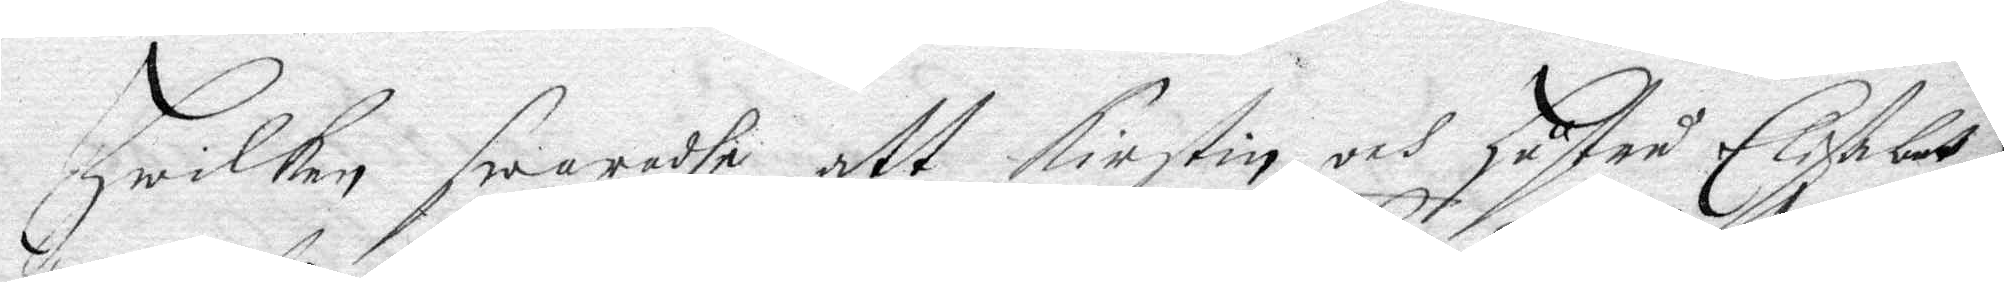hwilken swarade att Kirstin och hustru Elisabet
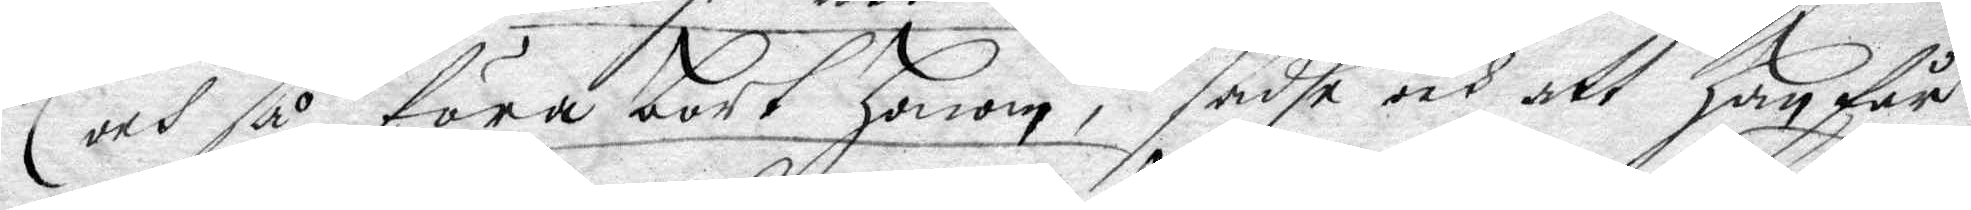och så föra bort honom, sadhe och att han får
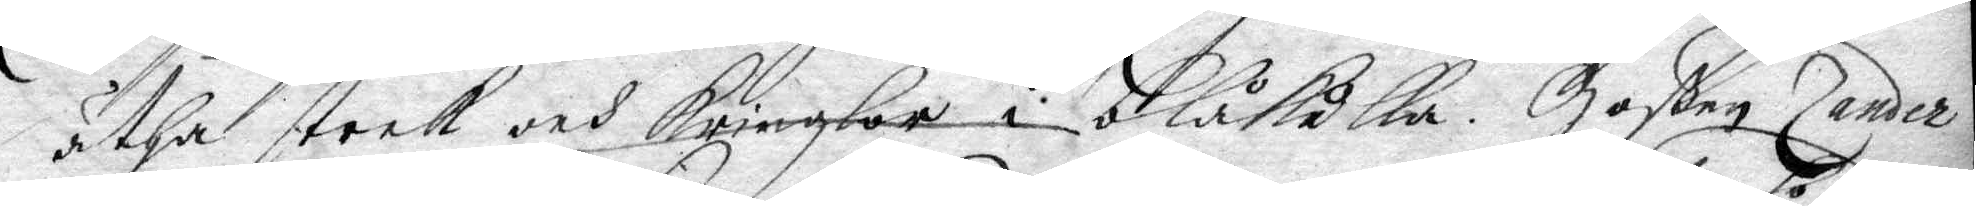ätha steek och kringlor i blåkulla, Goßen Zander
